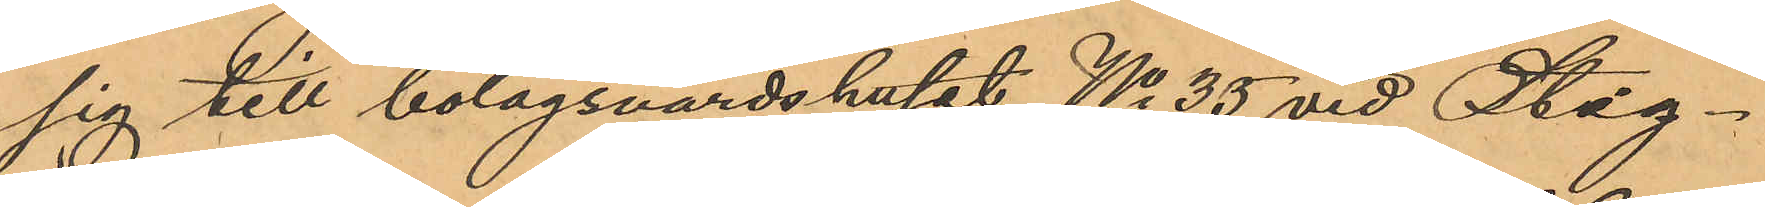sig till bolagsvärdshuset No 35 vid Stig¬
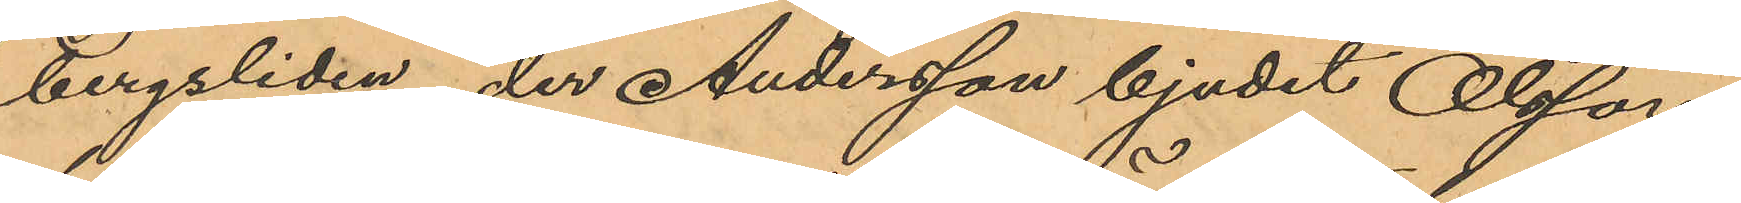bergsliden, der Andersson bjudit Olsson
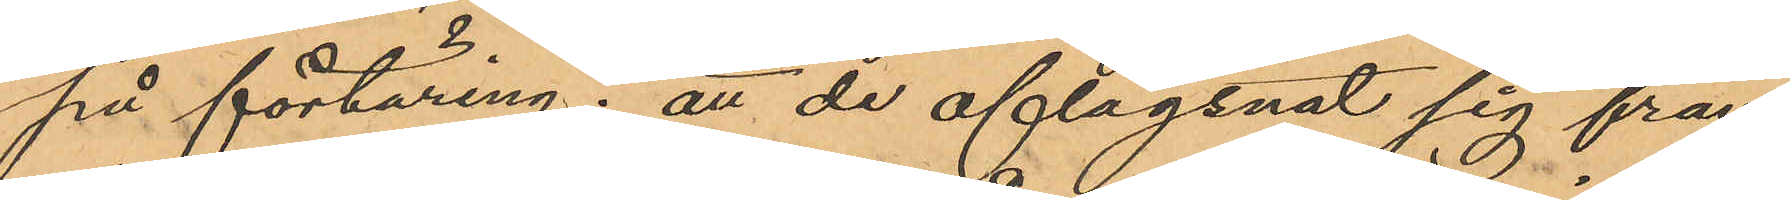på förtäring; att de aflägsnat sig från
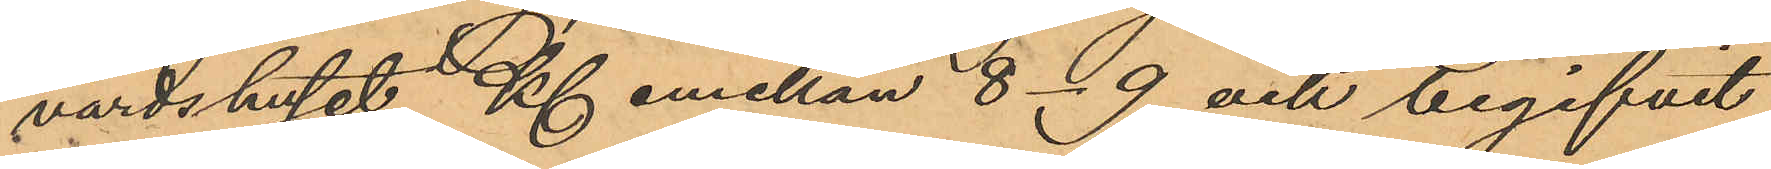värdshuset Kl emellan 8 - 9 och begifvit
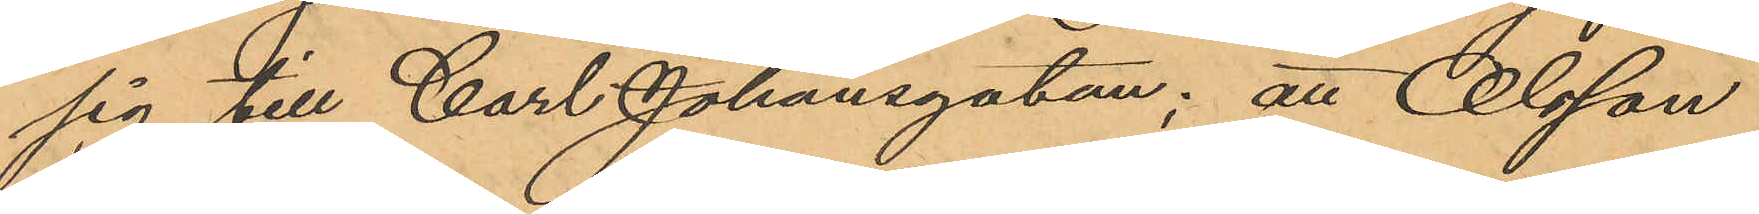sig till Carl Johansgatan; att Olsson
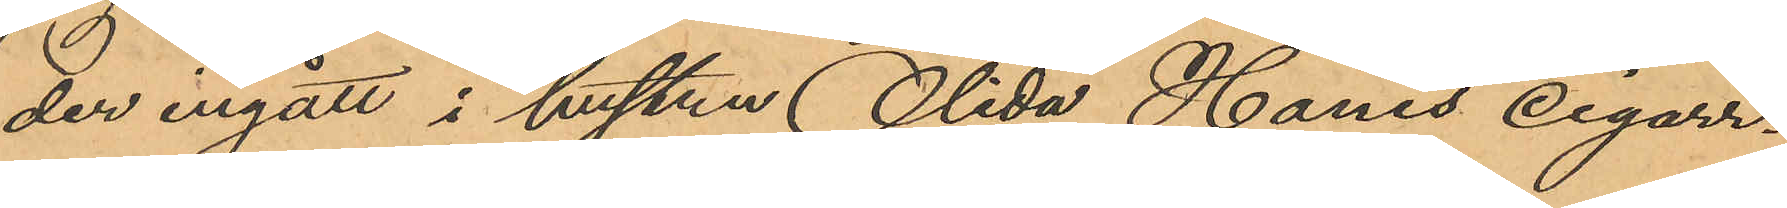der ingått i hustru Olida Hanes Cigarr¬
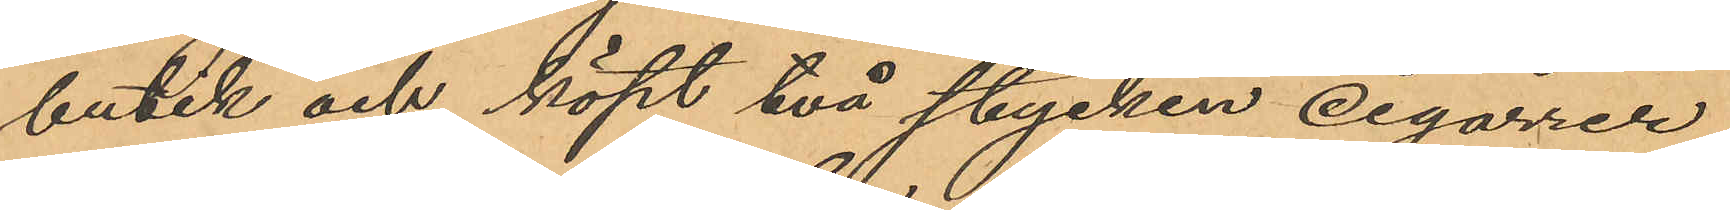butik och köpt två stycken cigarrer
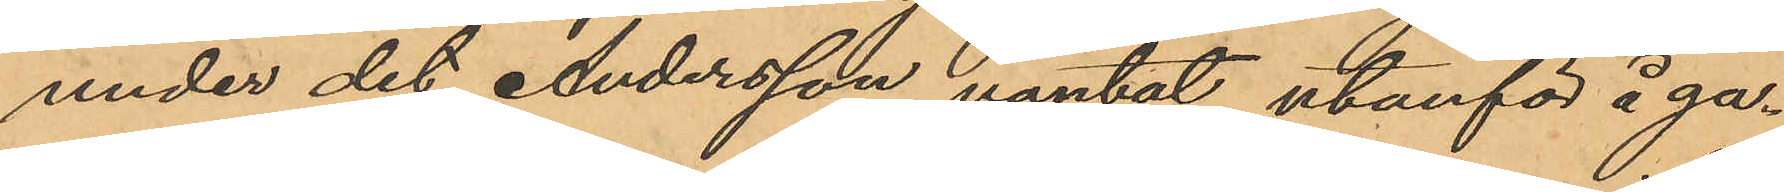under det Andersson väntat utanför å ga¬
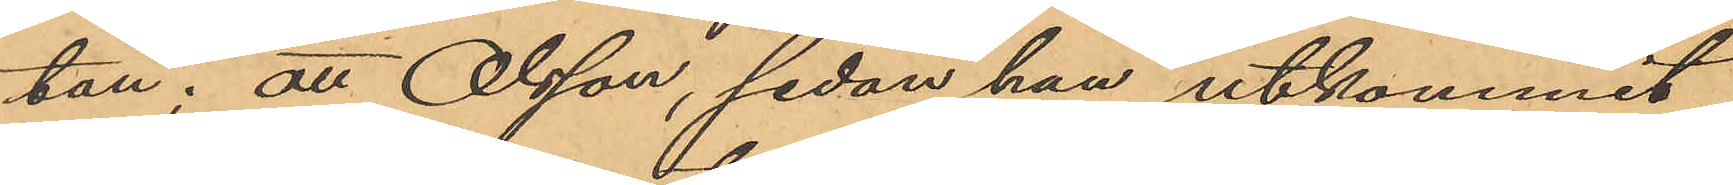tan; att Olsson, sedan han utkommit
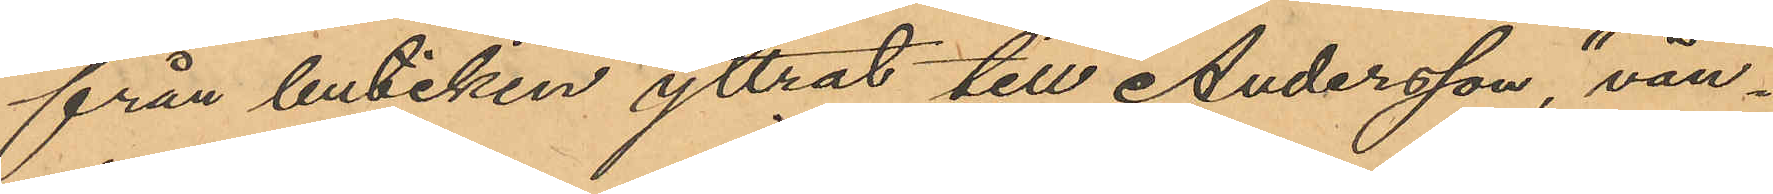från butiken yttrat till Andersson, "vän¬
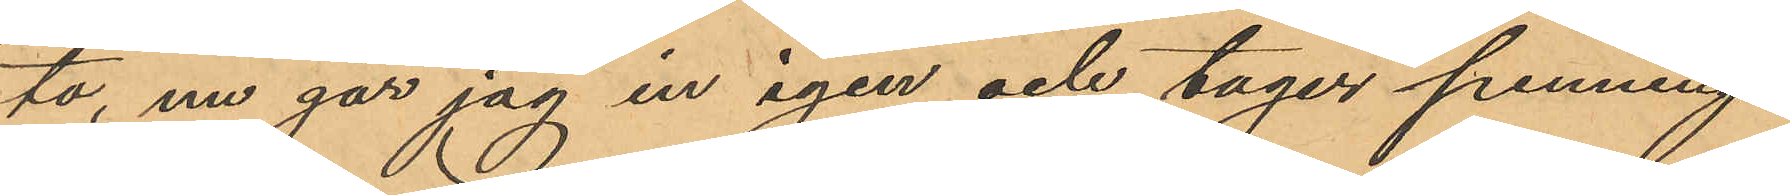ta, nu går jag in igen och tager penning¬
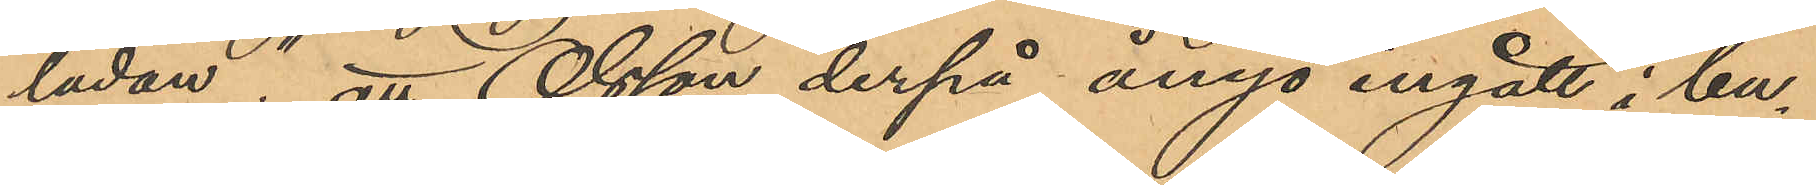lådan"; att Olsson derpå ånyo ingått i bu¬
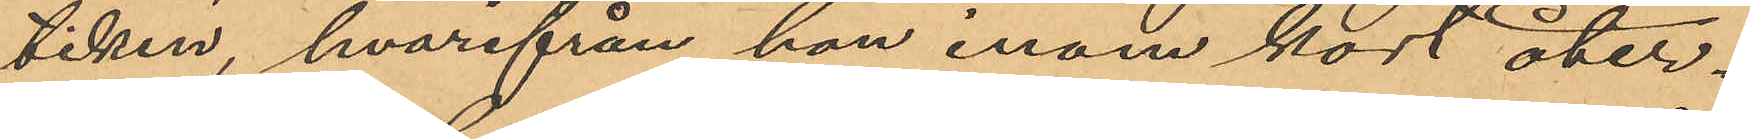tiken, hvarifrån han inom kort åter¬
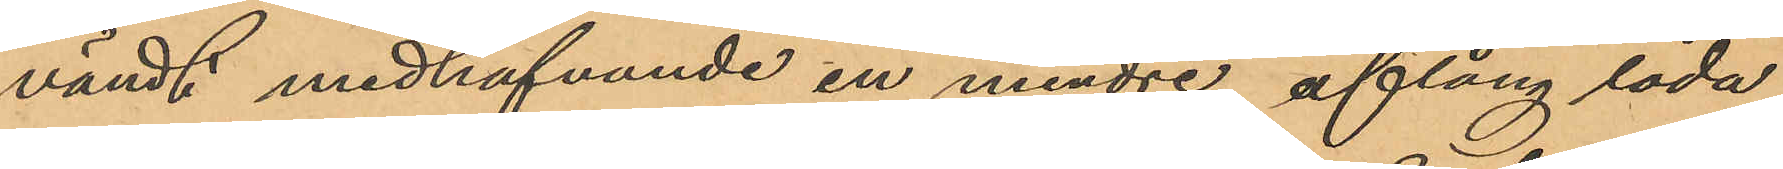vändt medhafvande en mindre aflång låda
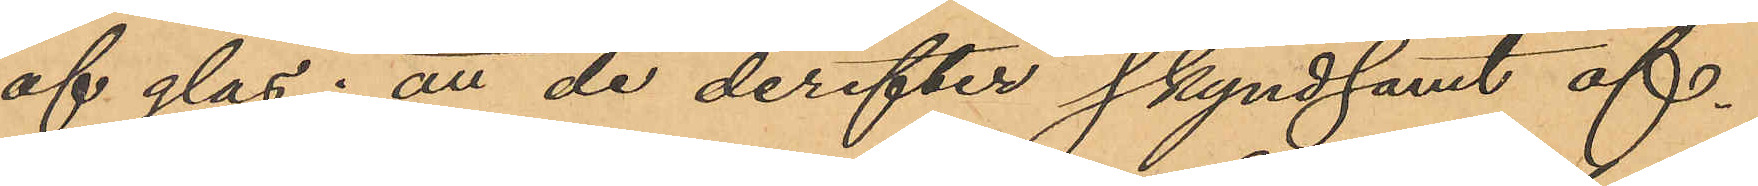af glas; att de derefter skyndsamt af¬
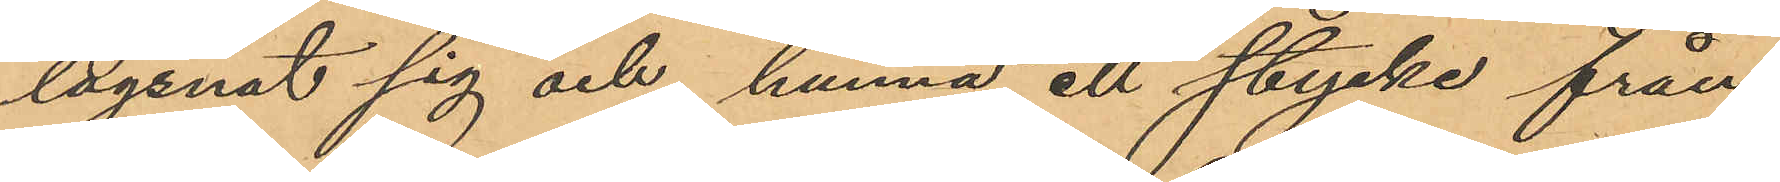lägsnat sig och hunna ett stycke från
